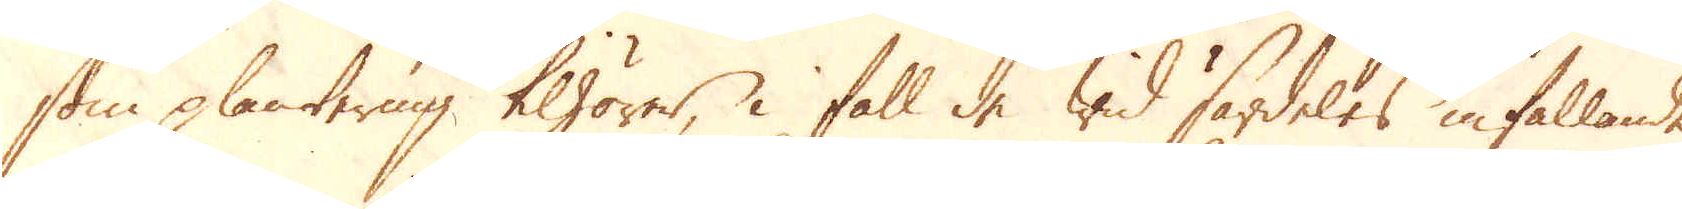som plantering tilhörer, i fall de wid särdeles infallande
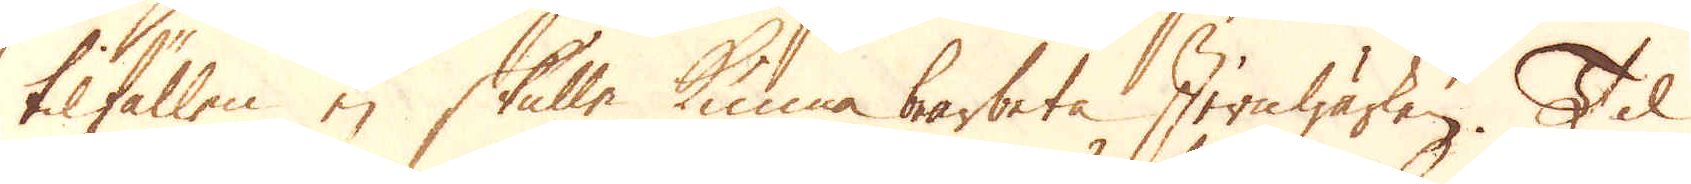tilfällen ej skulle kunna bearbeta Jernwärken. Til
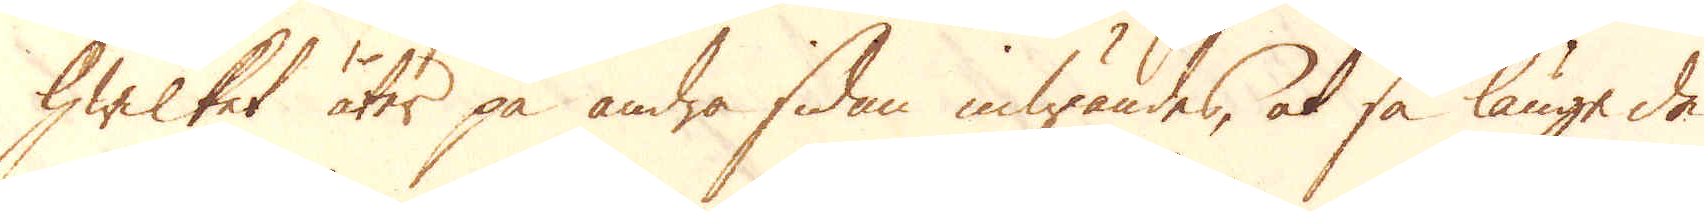hwilket åter på andra sidan inwändes, at så länge de
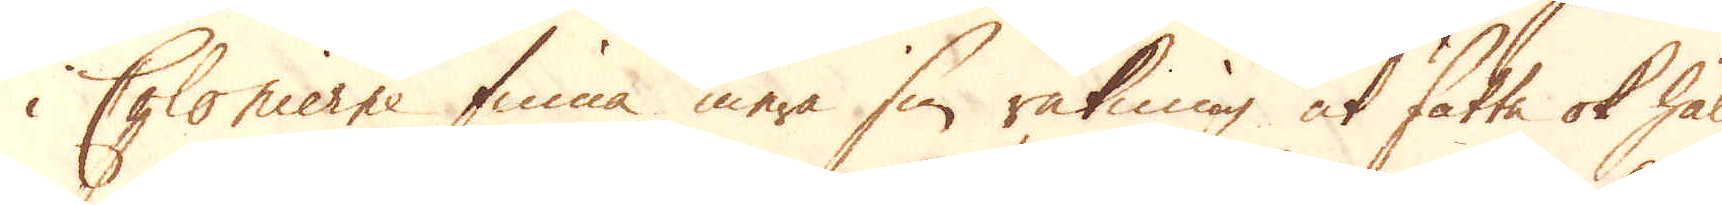i Colonierne finna mera sin räkning at sätta ok hålla
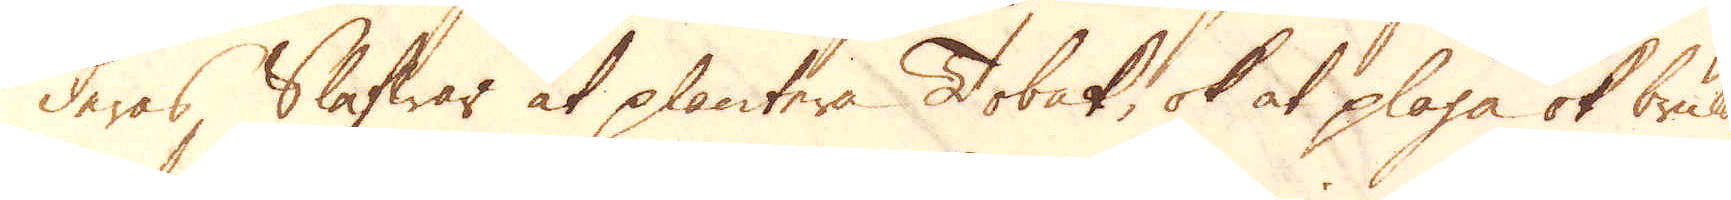deras Slafwar at plantera Tobak, ok at plöga ok bruka
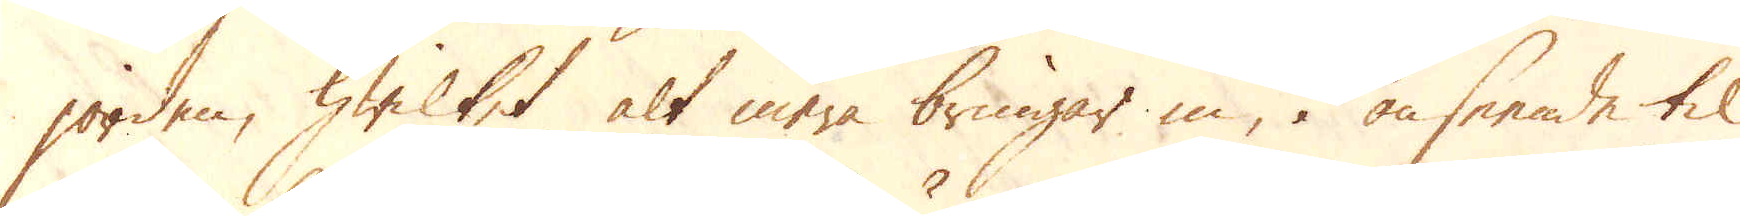jorden, hwilket alt mera bringar in, i anseende til
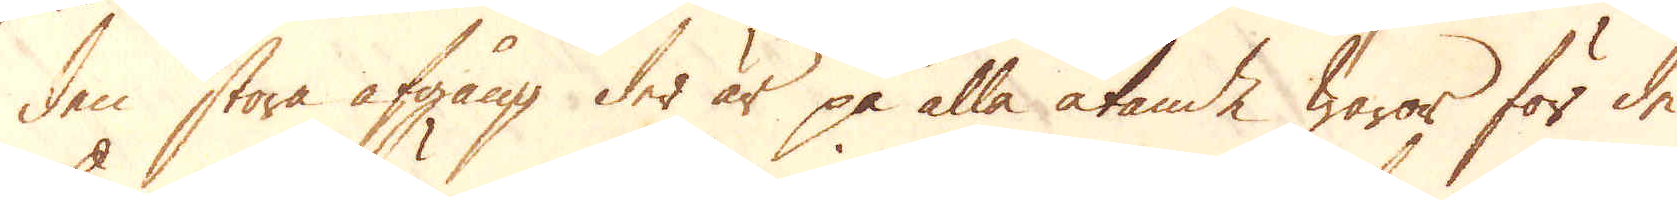den stora afgång der är på alla ätande waror för de
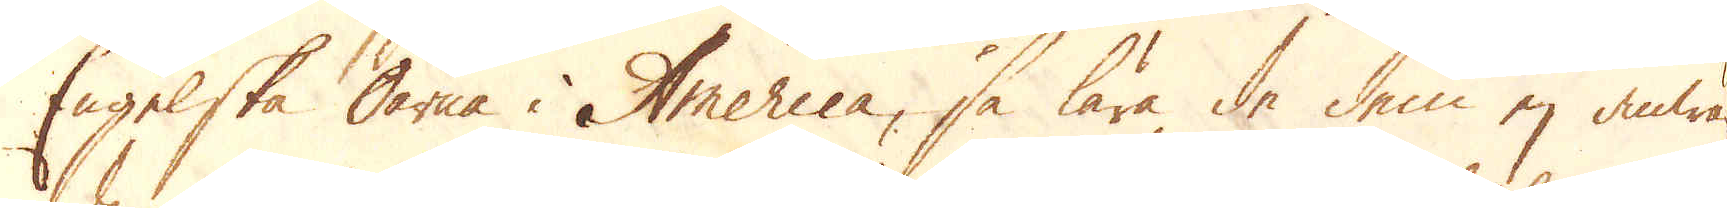Engelske Öarna i America, så lära de dem ej anwän-
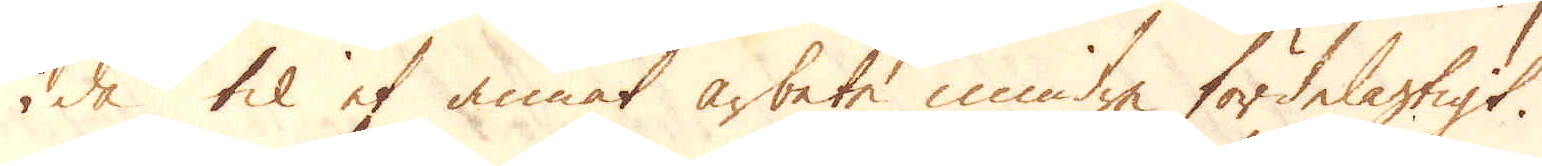da til et annat arbete mindre fördelagtigt.
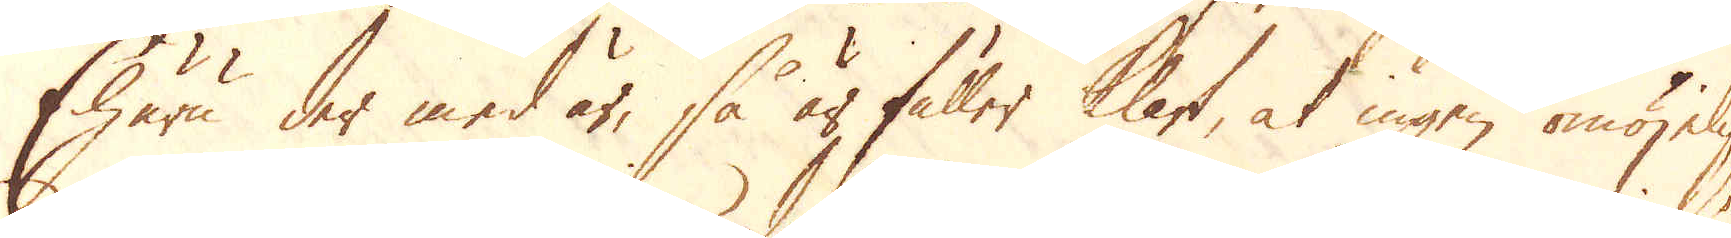Ehuru der med är, så är fuller klart, at ingen omöjelig-
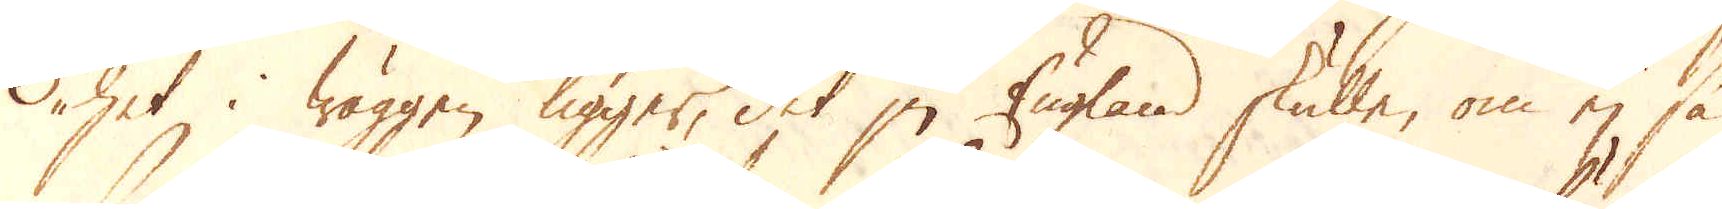het i wäggen ligger, det ju England skulle, om ej så
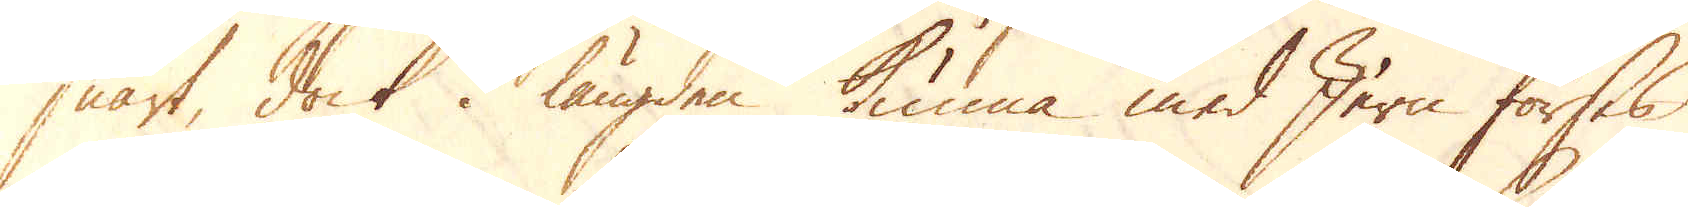snart, dock i längden kunna med Jern förses
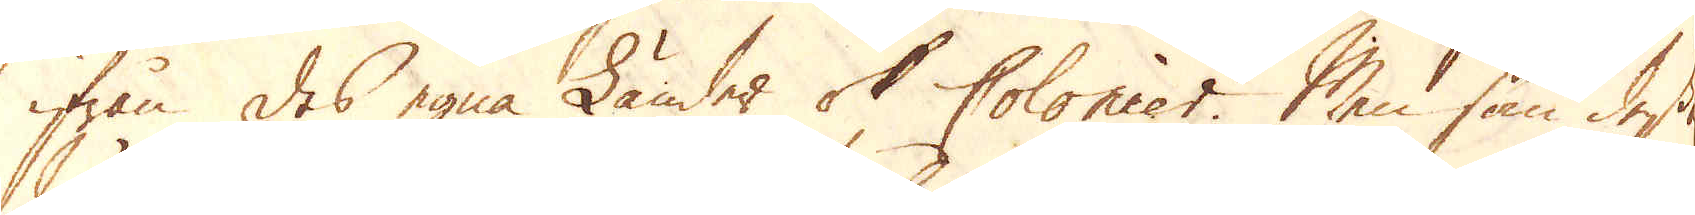ifrån des egna Länder ok Colonier. Men som deras
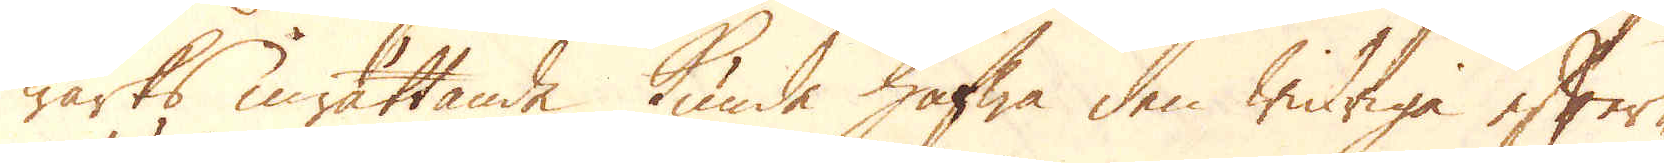Wärks inrättande kunde hafwa den widriga efter-
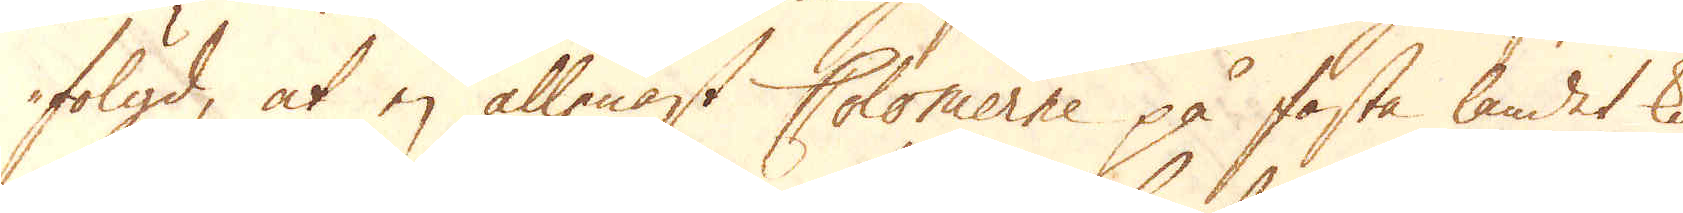fölgd, at ej allenast Colonierne på fasta landet ku-
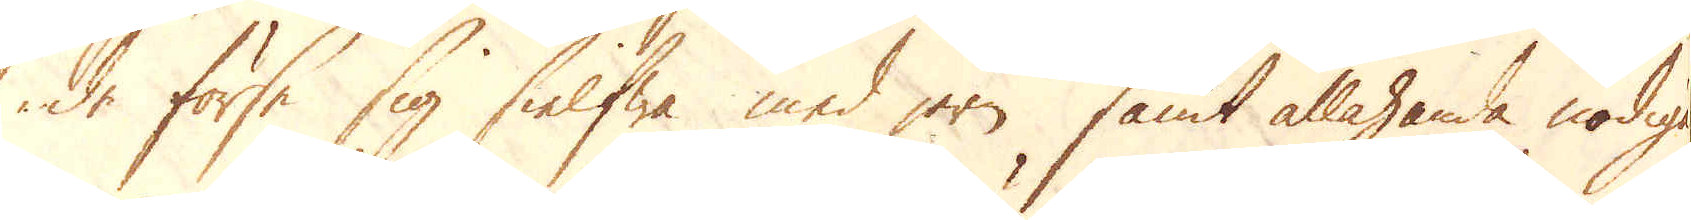de förse sig sielfwa med jern samt allahanda nödige
